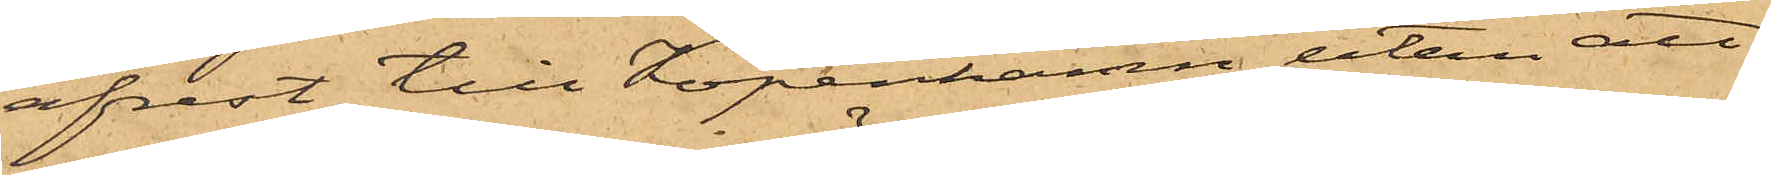afrest till Köpenhamn, utan att
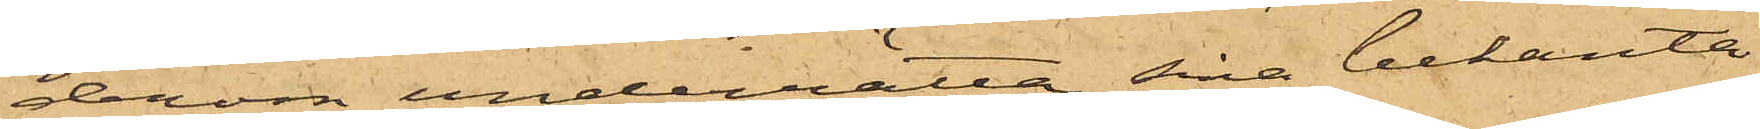derom underrätta sina bekanta
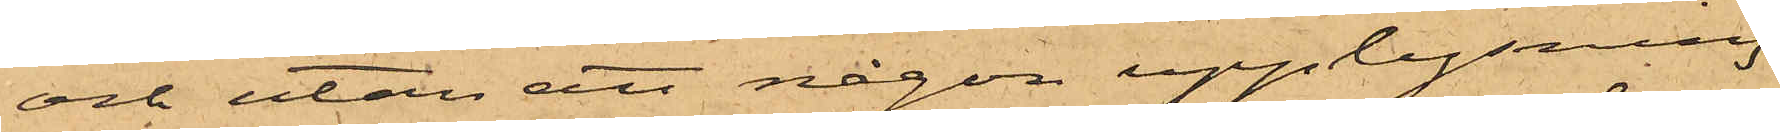och utan att någon upplysning
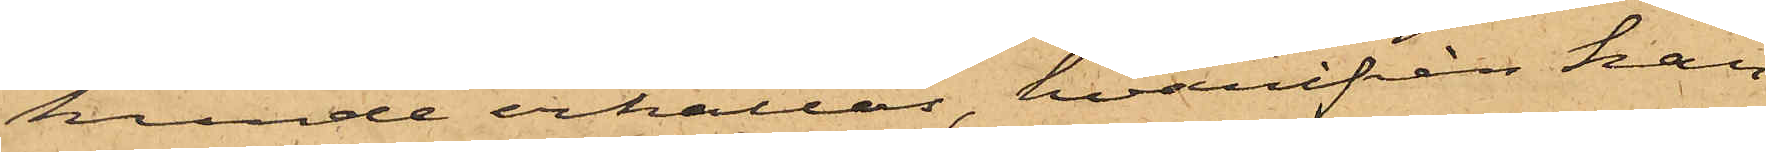kunde erhållas, hvarifrån han
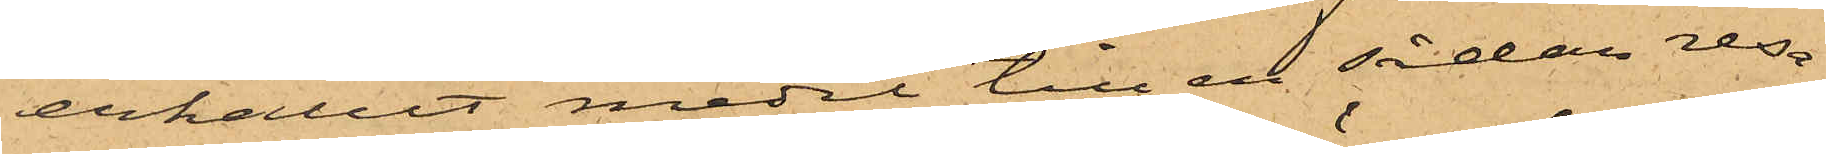erhållit medel till en sådan resa.
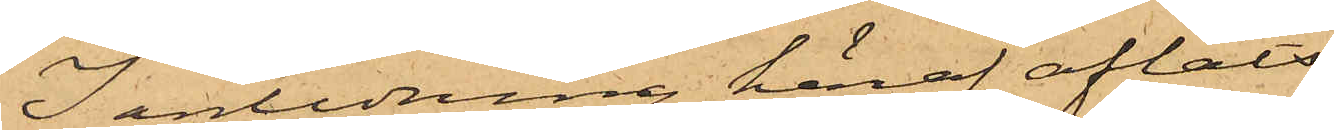I anledning häraf afläts
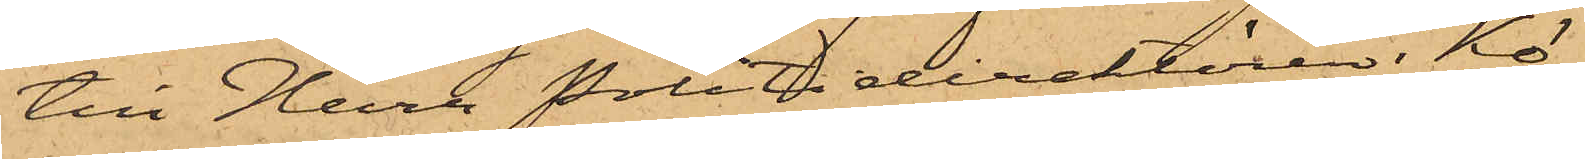till Herr Politidirektören i Kö¬
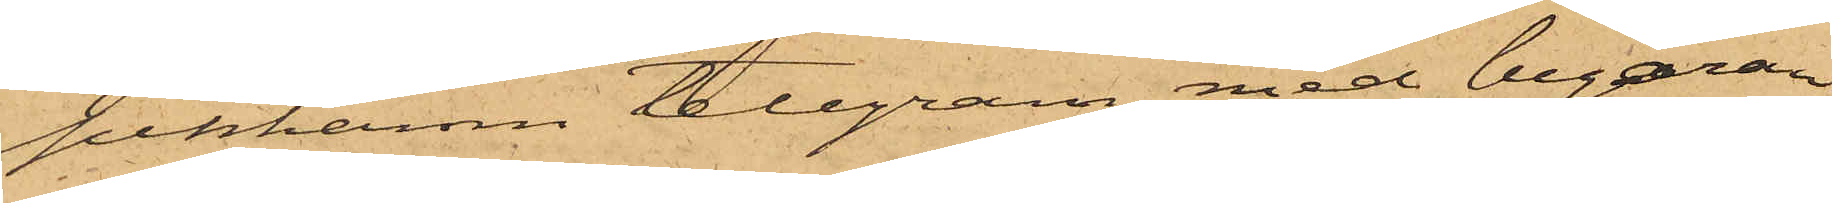penhamn telegram med begäran
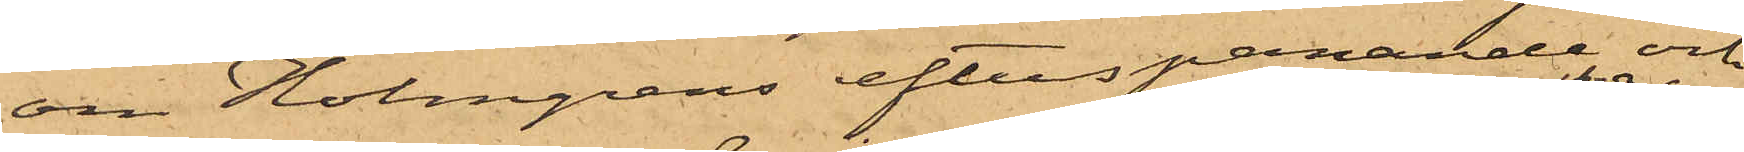om Holmgrens efterspanande och
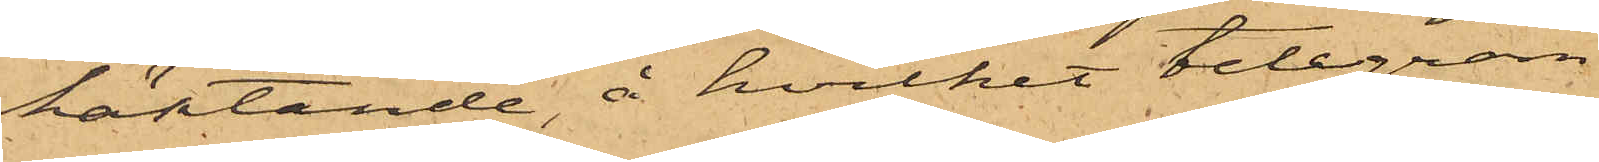häktande, å hvilket telegram
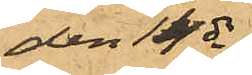den 14 ds
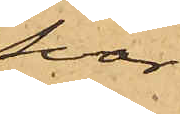Svar
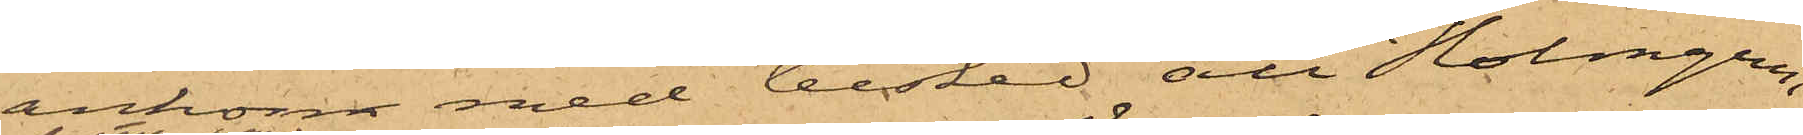ankom med besked att Holmgren,
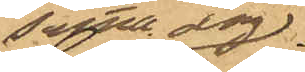samma dag
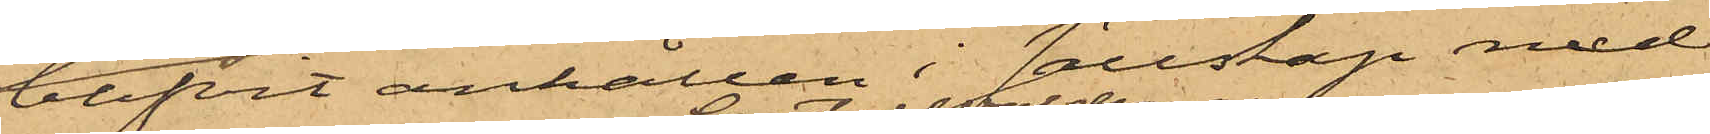blifvit anhållen i sällskap med
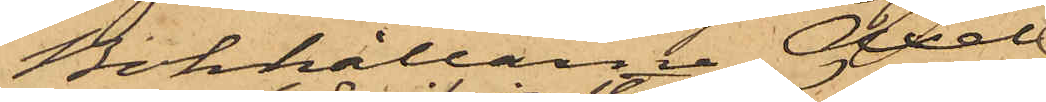Bokhållarne Axel
